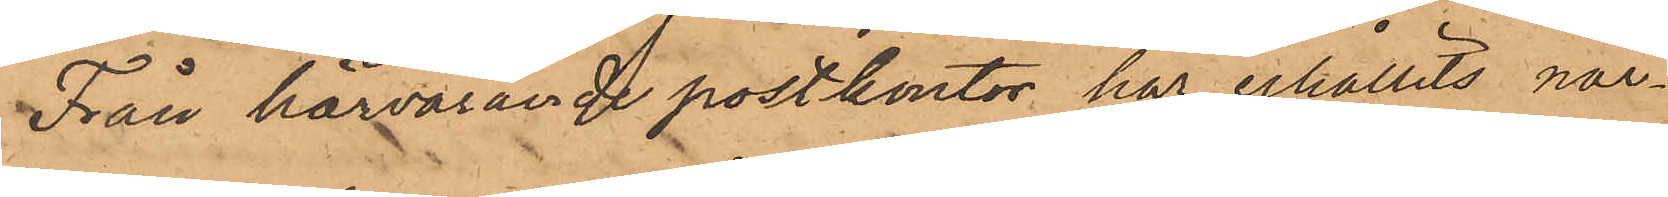Från härvarande postkontor har erhållits när¬
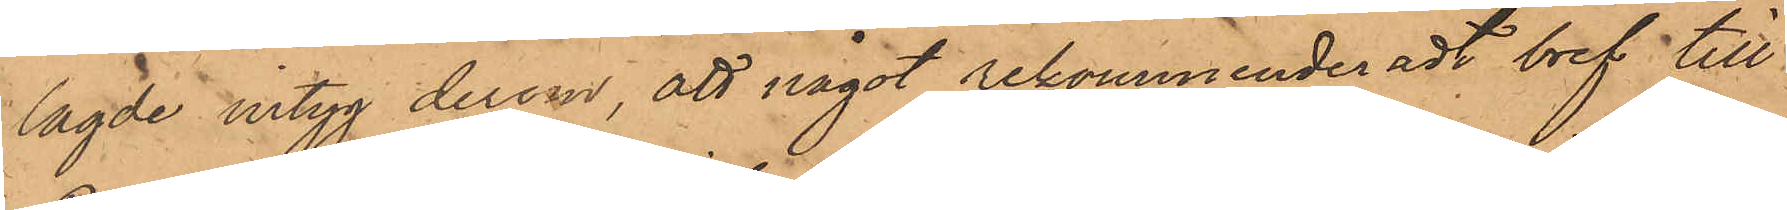lagde intyg derom, att något rekommenderadt bref till
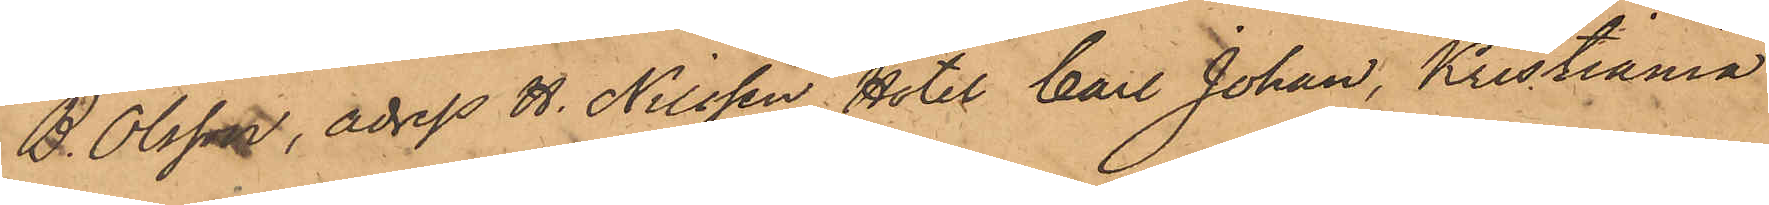B. Olsson, adress H. Nilsson, Hotel Carl Johan, Kristiania
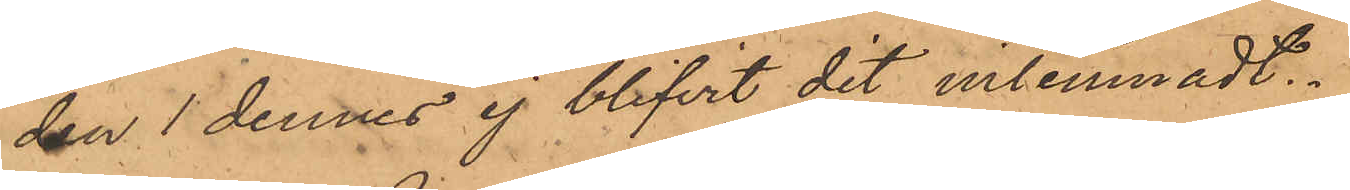den 1 dennes ej blifvit dit inlemnadt.
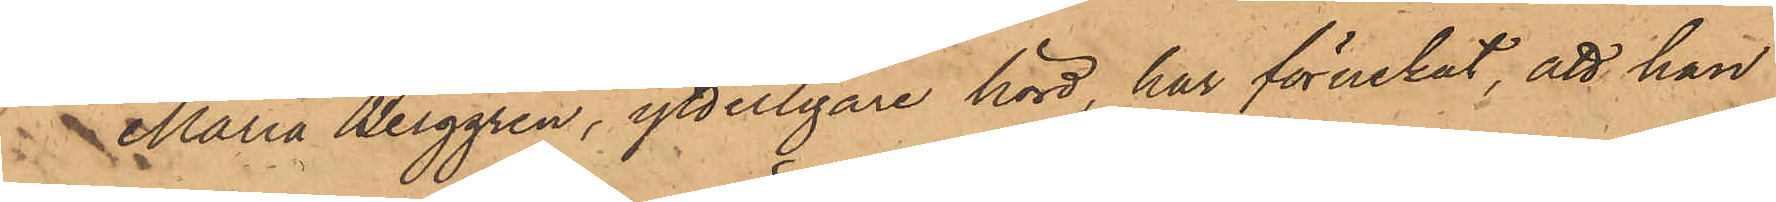Maria Berggren, ytterligare hörd, har förnekat, att hon
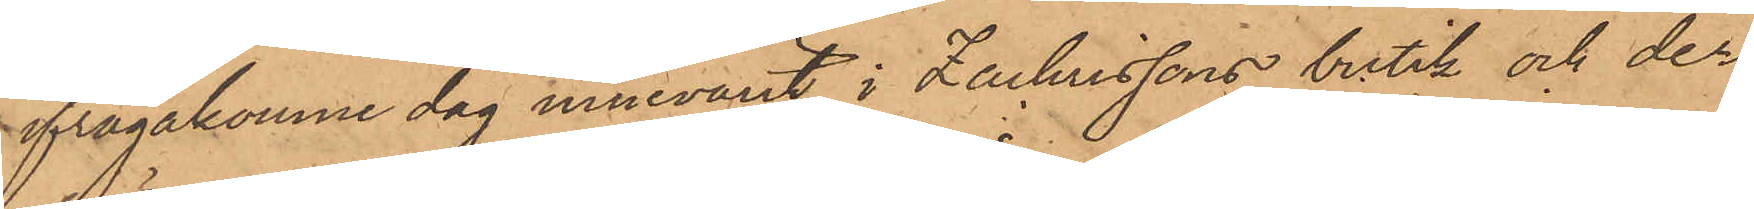ifrågakomne dag innevarit i Zachrissons butik och der
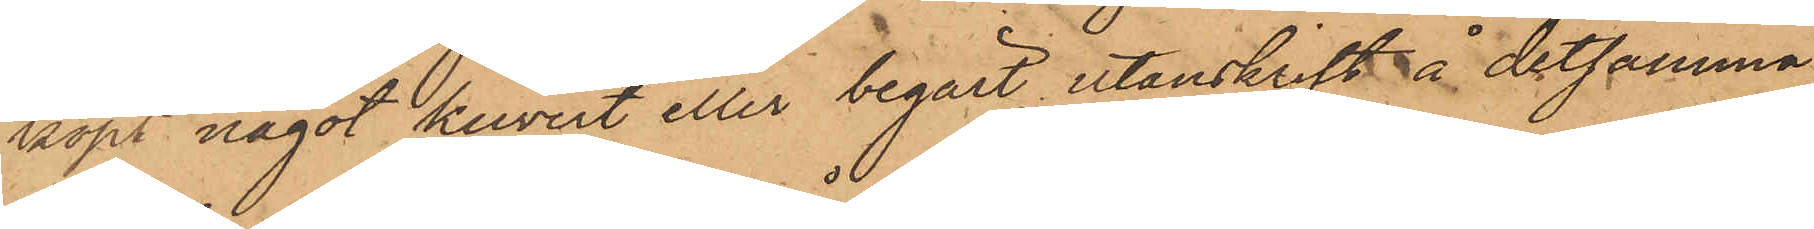köpt något kuvert eller begärt utanskrift å detsamma,
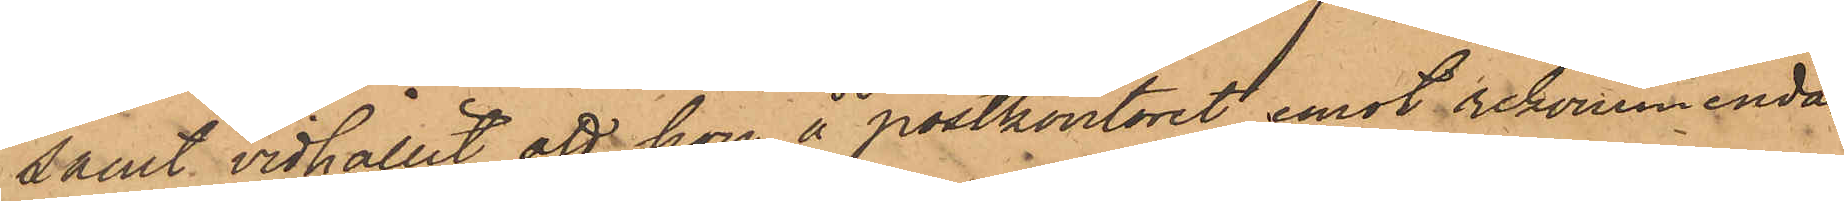samt vidhållit att hon å postkontoret emot rekommenda¬
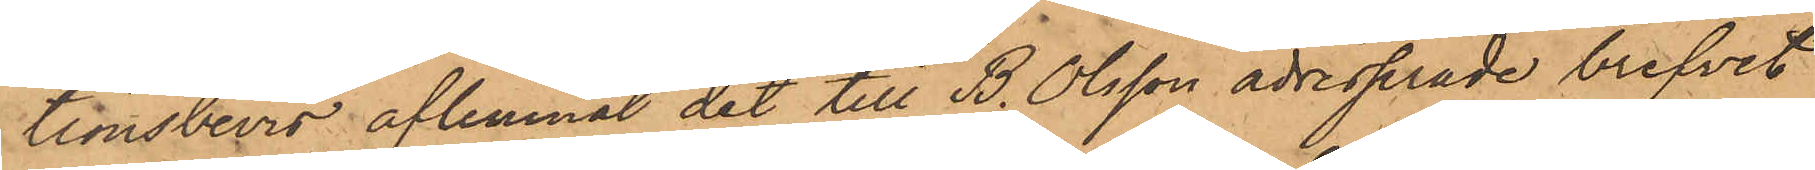tionsbevis aflemnat det till B. Olsson adresserade brefvet
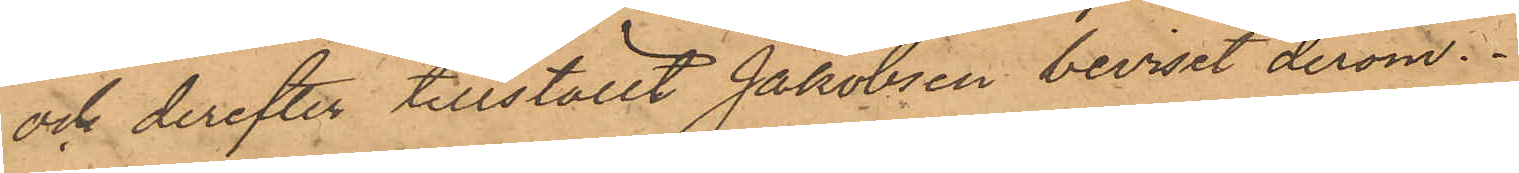och derefter tillställt Jakobsen beviset derom.
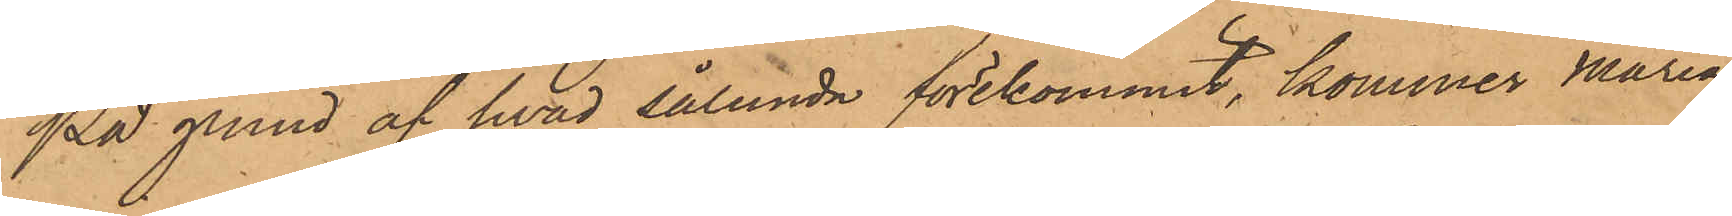På grund af hvad sålunda förekommit, kommer Maria
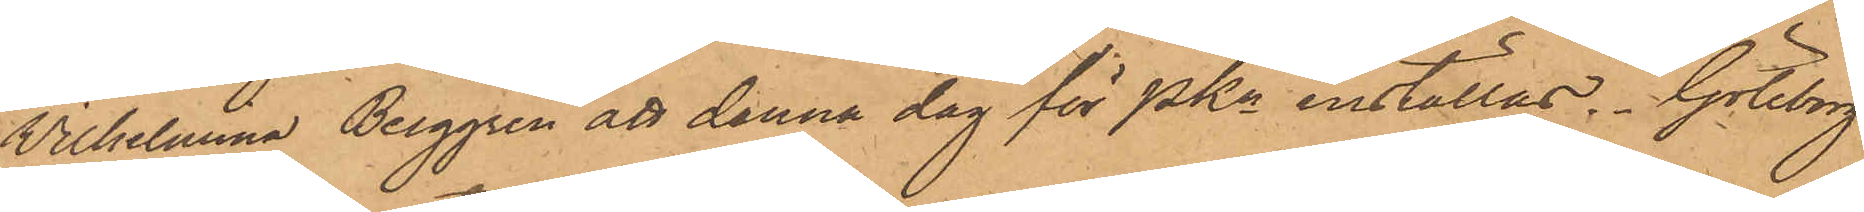Wilhelmina Berggren att denna dag för PKn inställas. Göteborg
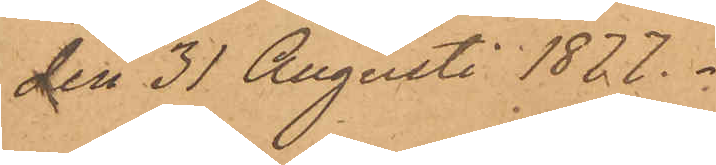den 31 Augusti 1877.
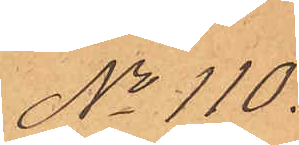No 110.
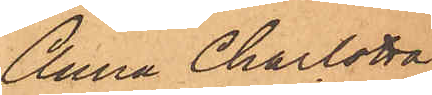Anna Charlotta
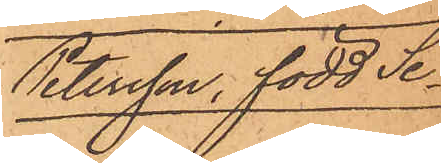Petersson, född Se-
